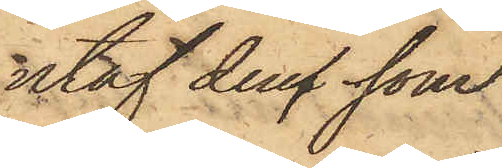utaf dens, som
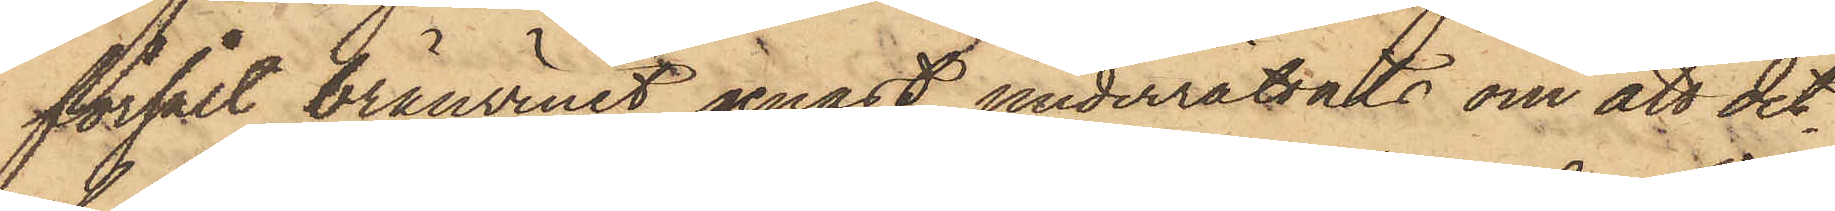försålt bränvinet genast underrättats om att det¬
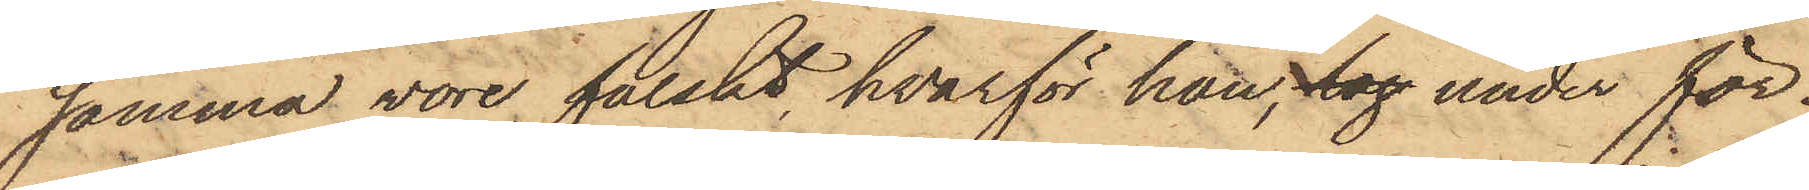samma vore falskt, hvarför han, tag under för¬
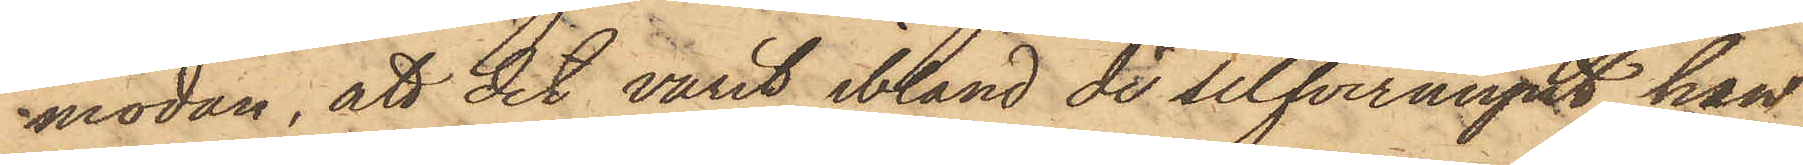modan, att det varit bland de silfvermynt han
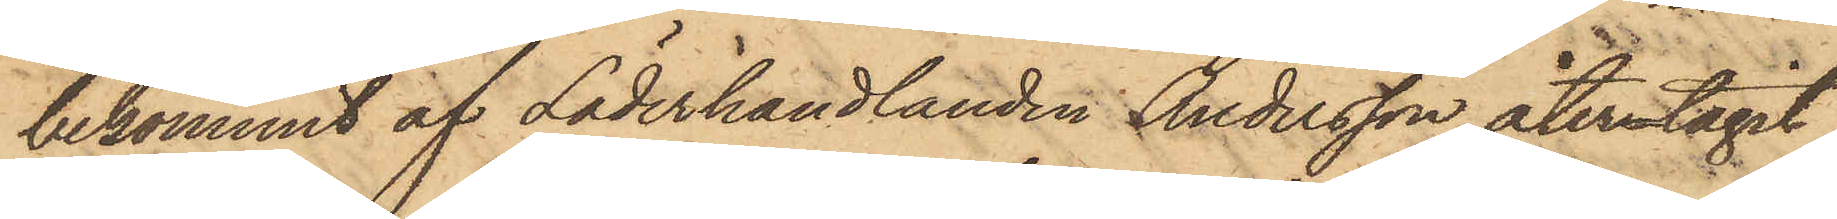bekommit af Läderhandlanden Andersson, återtagit
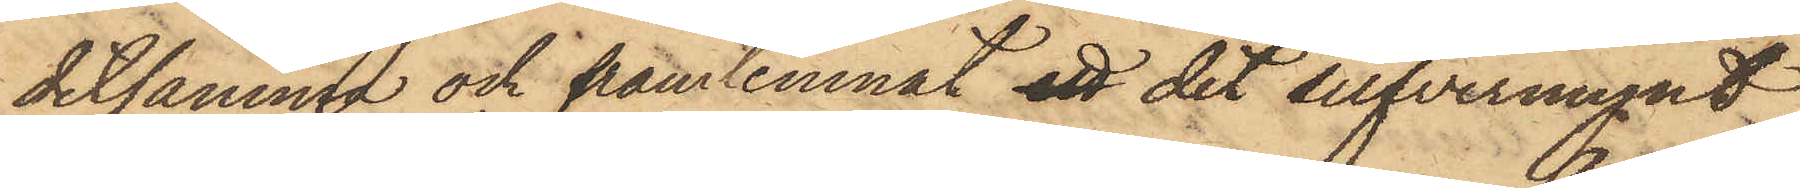detsamma och framlemnat ett det silfvermynt
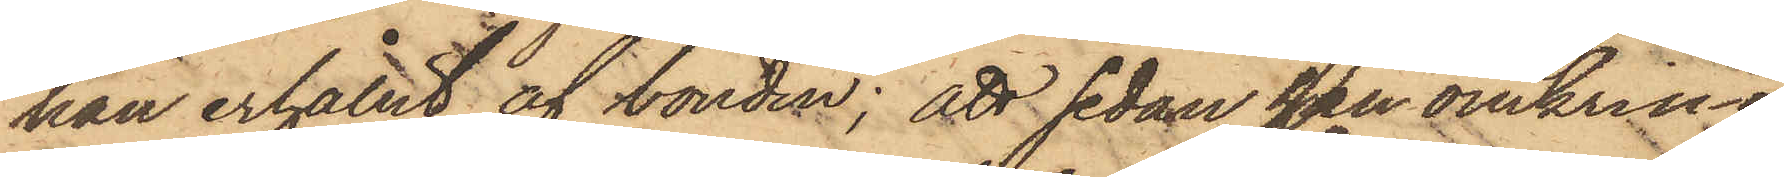han erhållit af bonden; att sedan han omkring
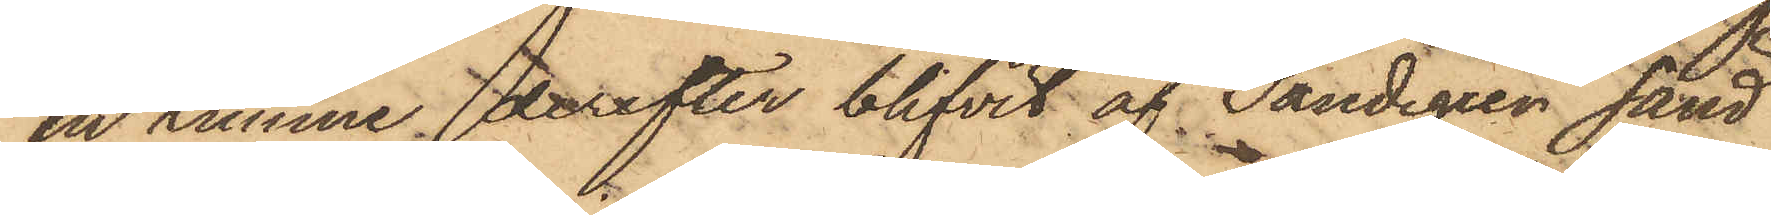en timme derefter blifvit af Sandegren sänd
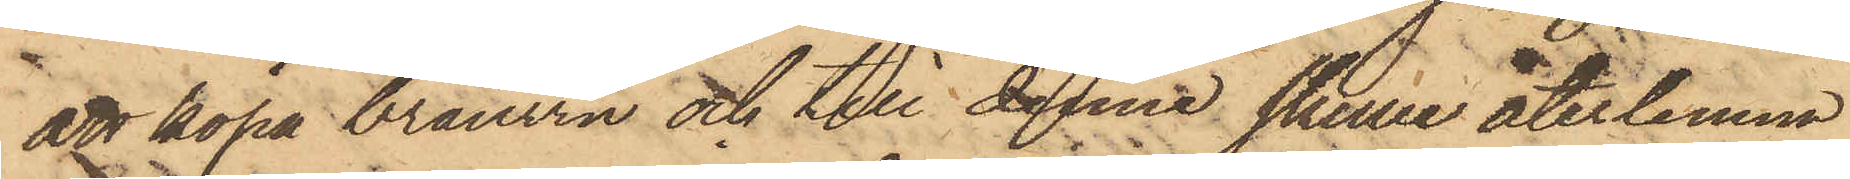att köpa brännvin och till denne skulle återlemna
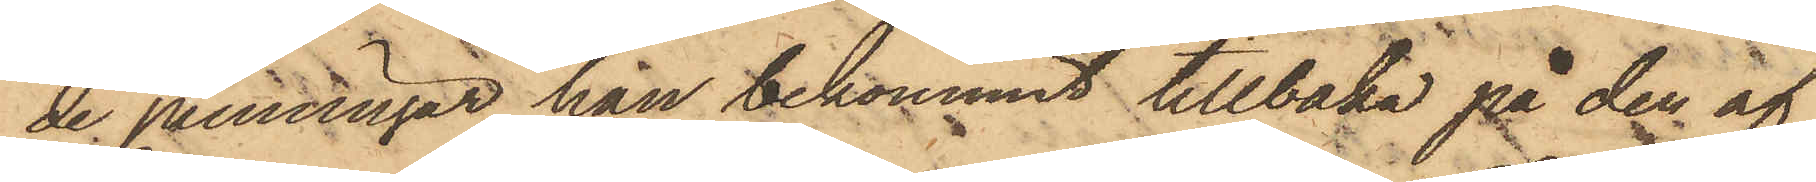de penningar han bekommit tillbaka på den af
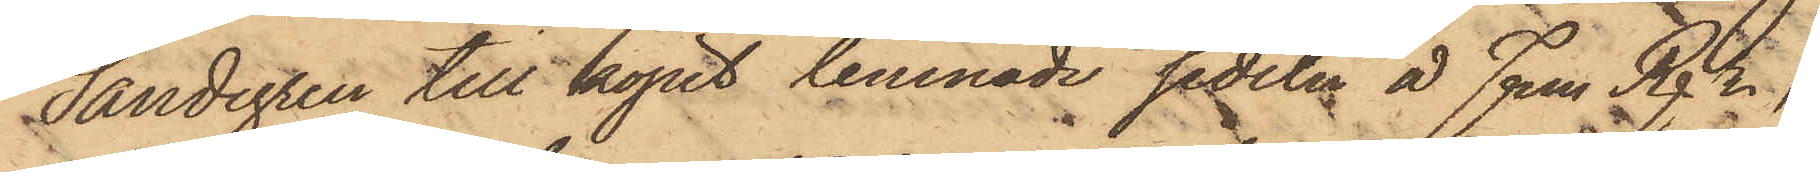Sandegren till köpet lemnade sedeln å Fem Rgr,
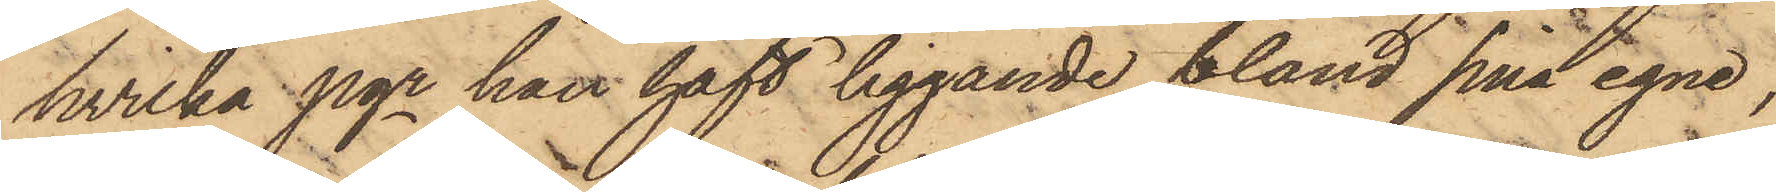hvilka pgr han haft liggande bland sina egne,
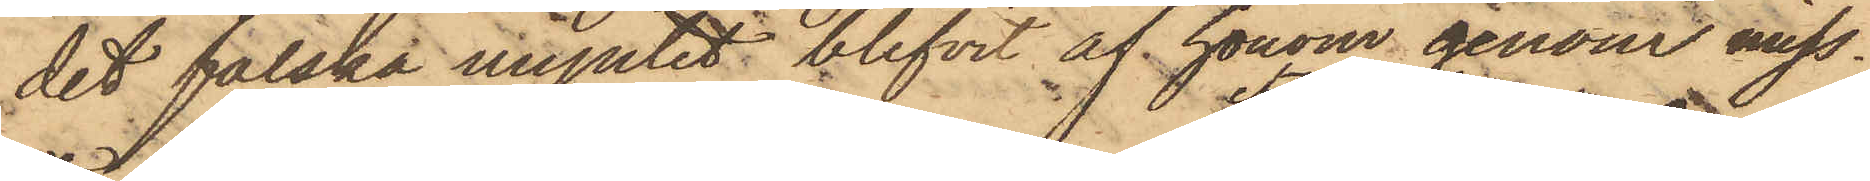det falska myntet blifvit af honom genom miss¬
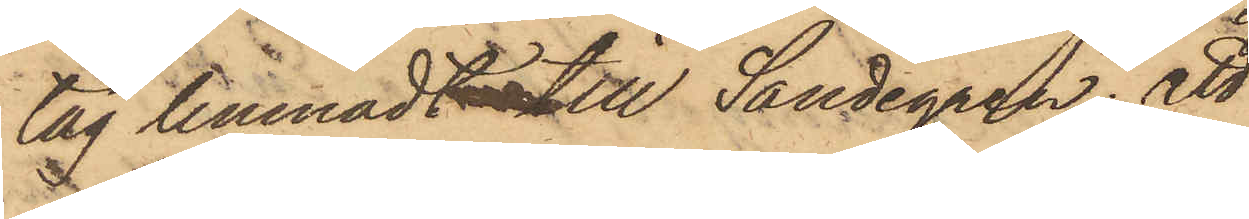tag lemnadt till Sandegren; att
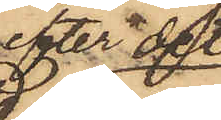efter det
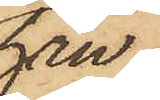han
